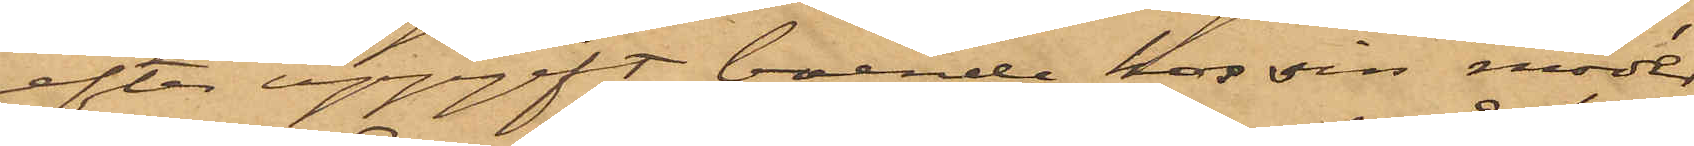efter uppgift boende hos sin moder
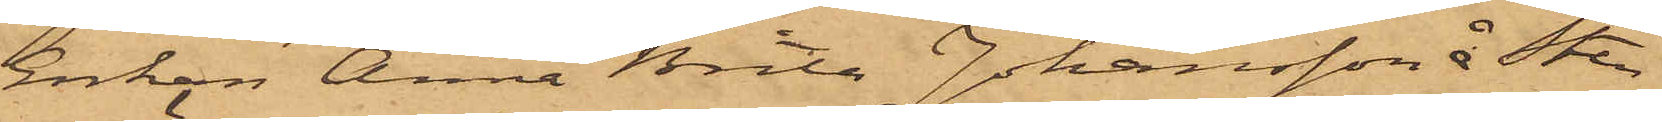Enkan Anna Brita Johansson å Sten¬
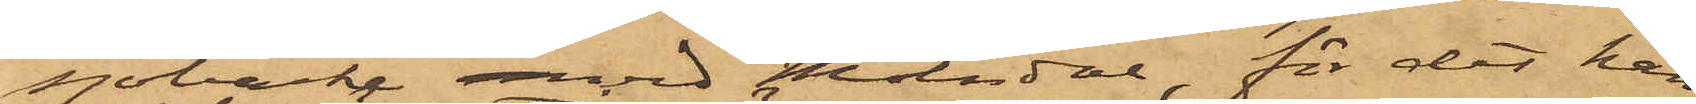sjöbacke vid Mölndal, för det han
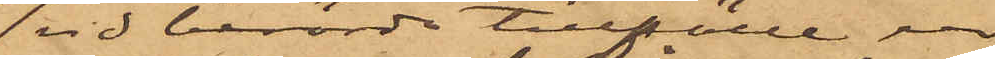vid berörde tillfälle ur
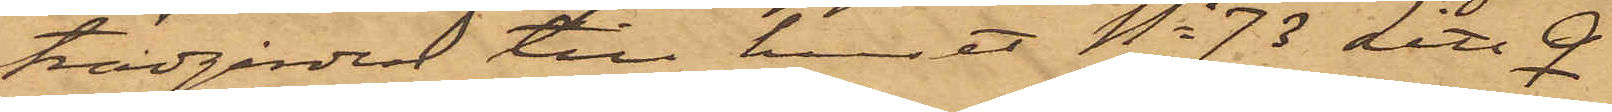trädgården till huset No 73 Litt Q
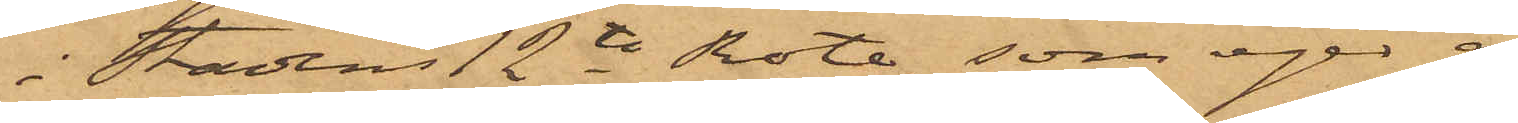i Stadens 12te Rote, som eges af
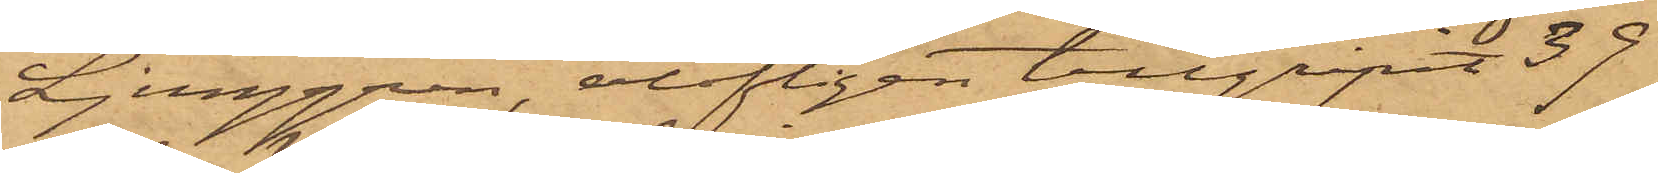Ljunggren, olofligen tillgripit 39
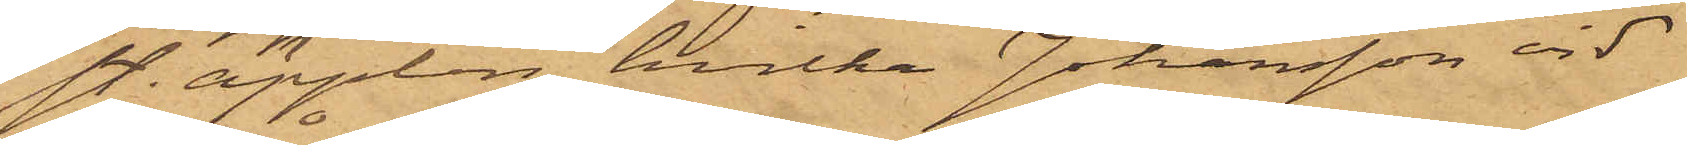sty. äpplen, hvilka Johansson vid
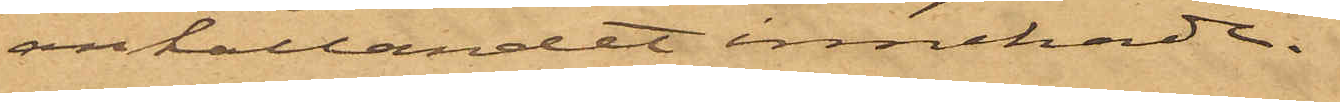anhållandet innehade.
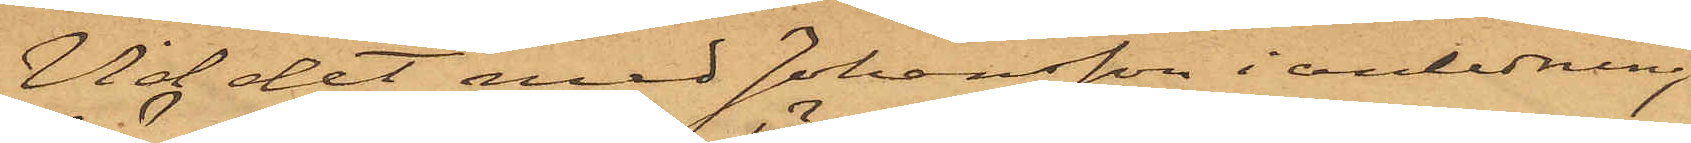Vid det med Johansson i anledning
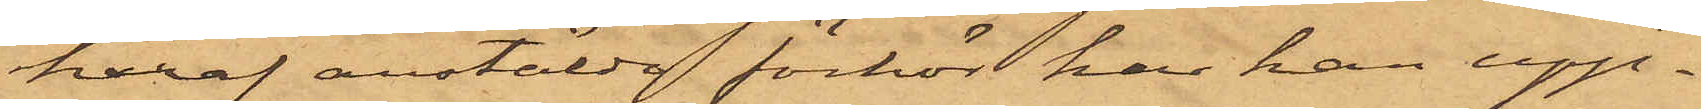häraf anstälde förhör har han upp¬
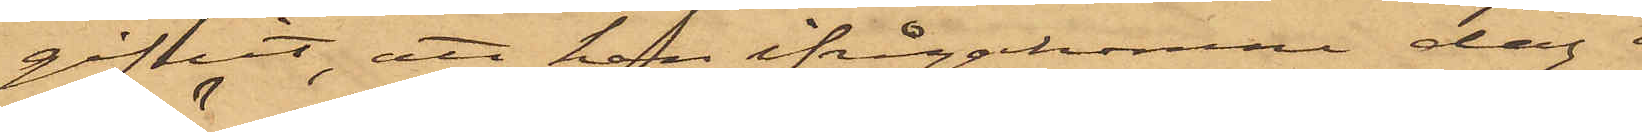gifvit, att han ifrågakomne dag i
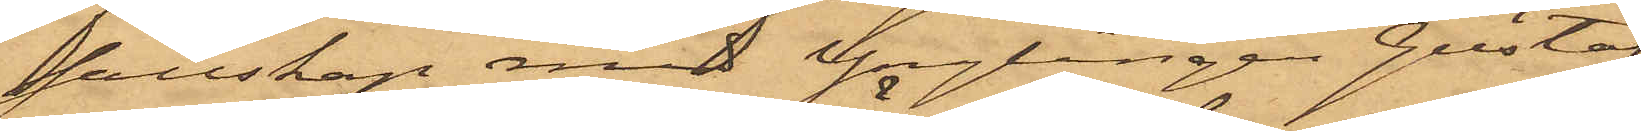sällskap med Ynglingen Gustaf
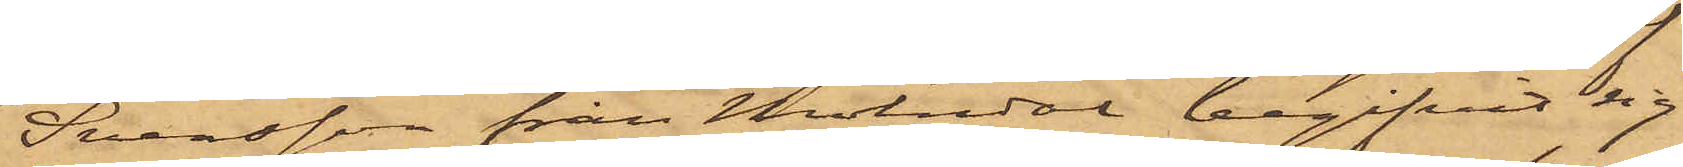Svensson från Mölndal, begifvit sig
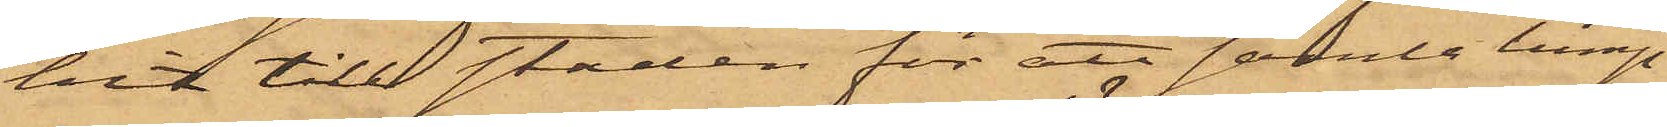hit till staden för att samla lump;
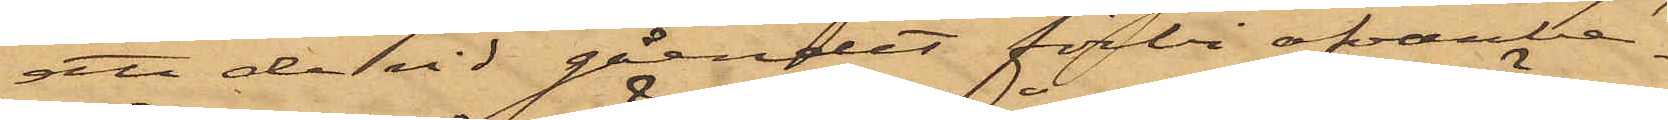att de vid gåendet förbi ofvanbe¬
